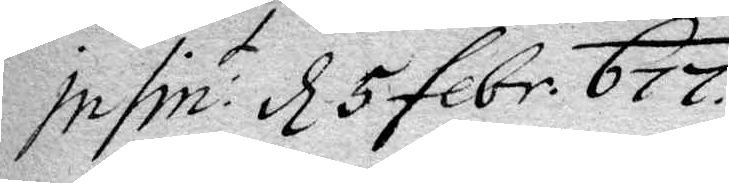Infin: t d 5 febr. 677.
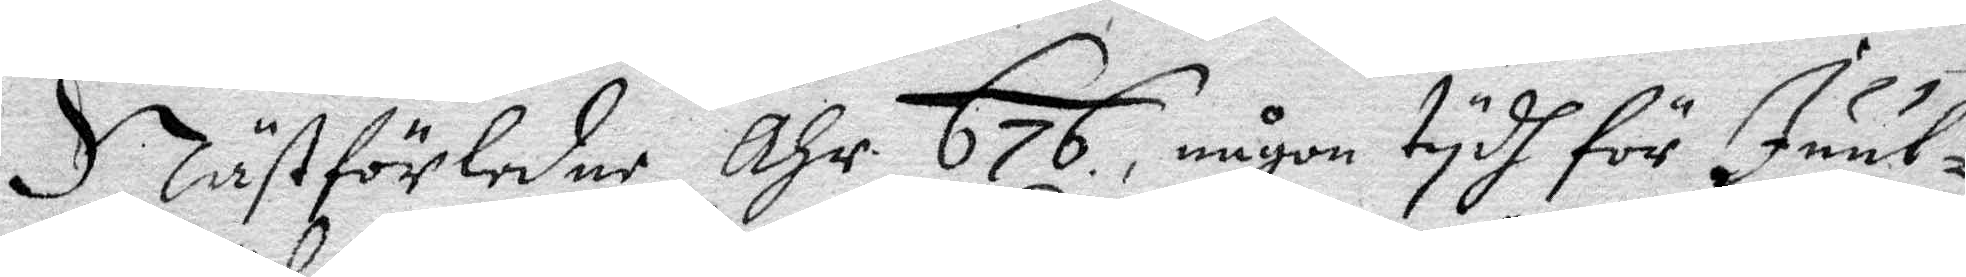I Nästförledne Åhr 676, någon tydh för Juul¬
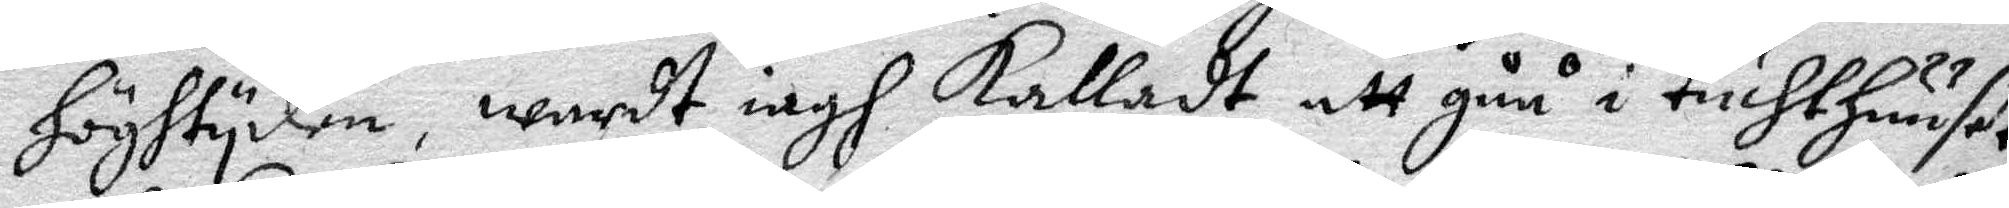höghtyden, wardt iagh Kalladt att gåå i tuchthuuset
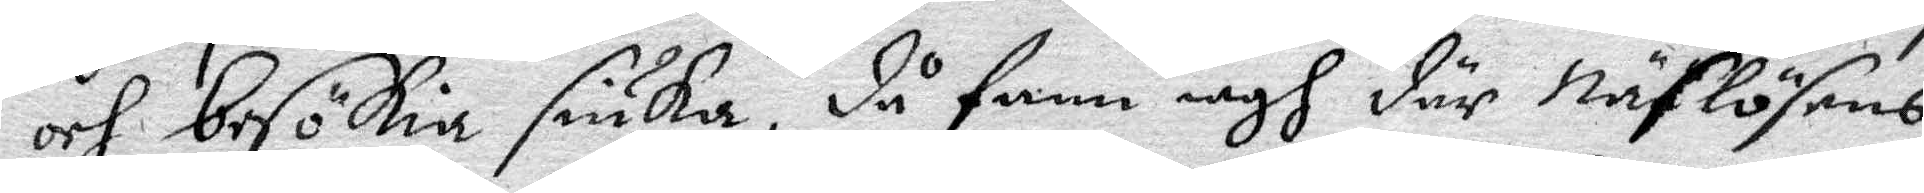och besökia siuka, då fann iagh där Näslösans
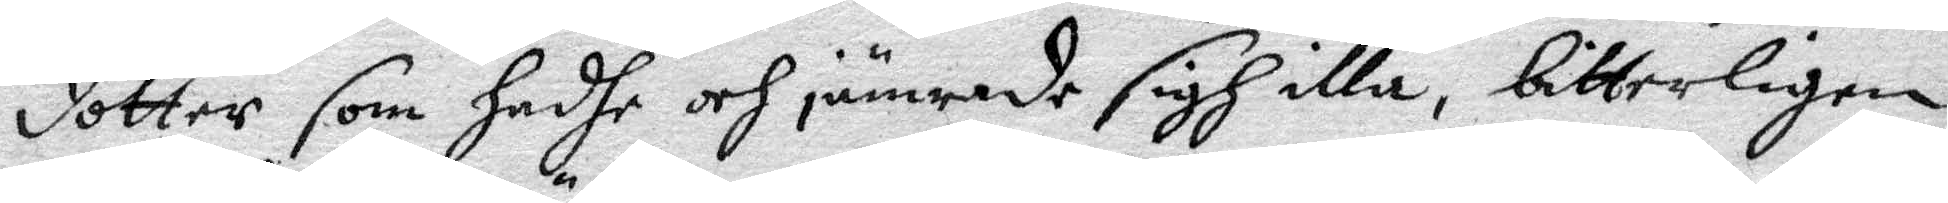dotter som hadhe och jämrade sigh illa, bitterligen
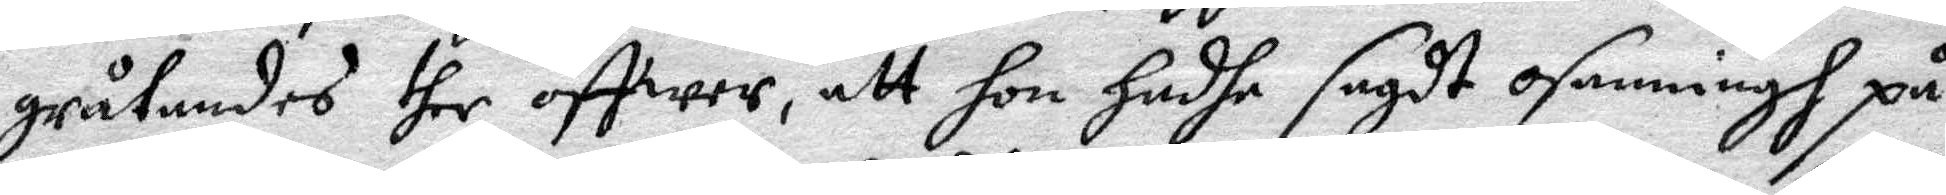gråtandes ther öffwer, att hon hadhe sagdt osanningh på
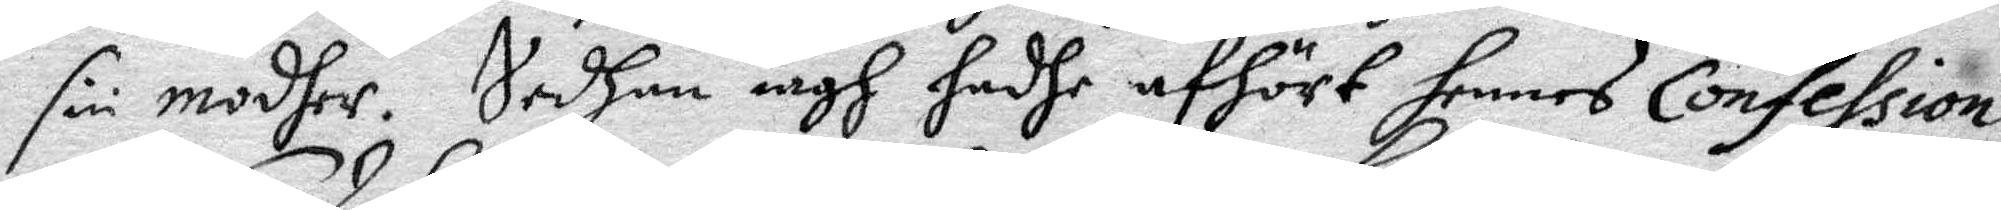sin moder. Sedan iagh hadhe afhört hennes Confession
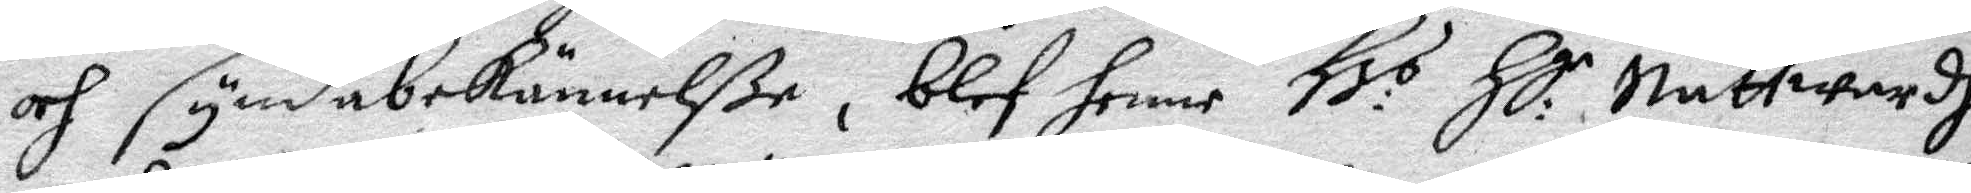och syndabekännelße, blef henne Hr:s Hl:e Nattwardh
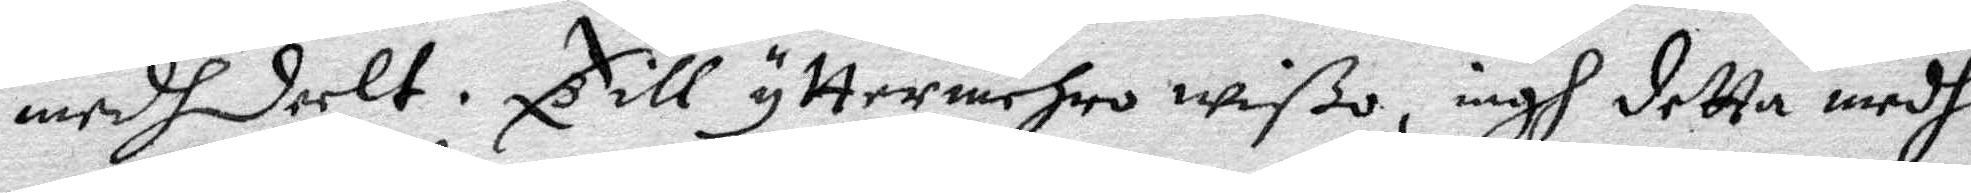medhdelt. Till yttermehro wißo, iagh detta medh
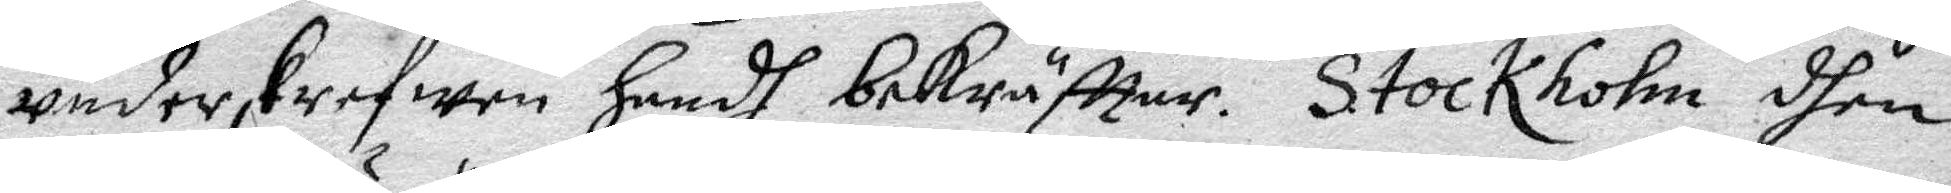underskrefwen Handh bekräfftar. Stockholm dhen
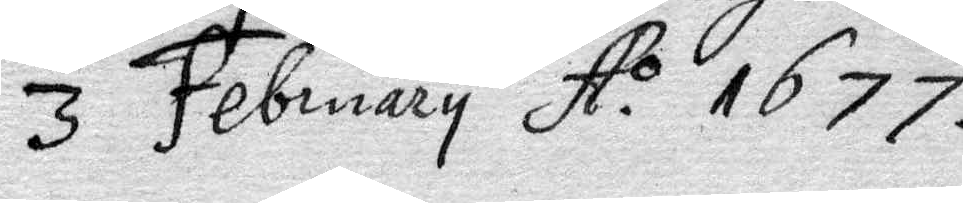3 February A:o 1677.
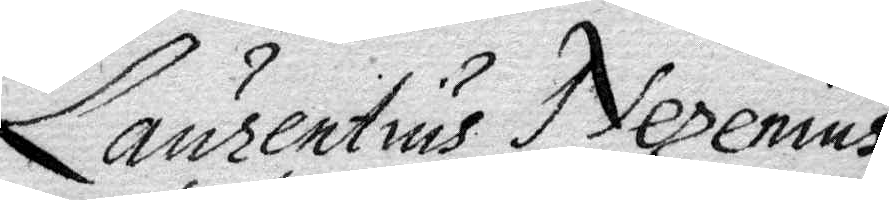Laurentius Nexenius
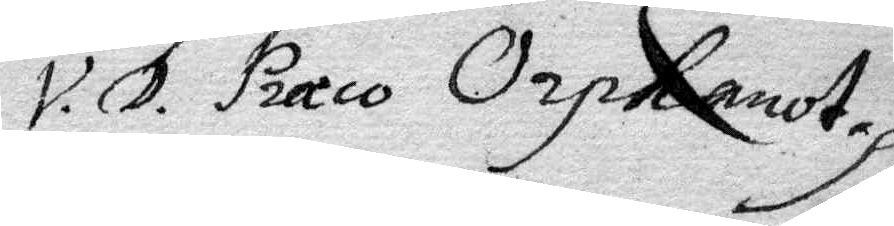V.D. Præco Orphanot.
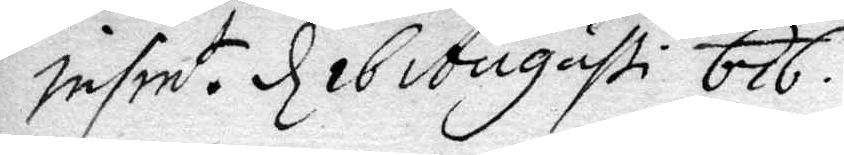Insin t. d 16 Augusti 676.
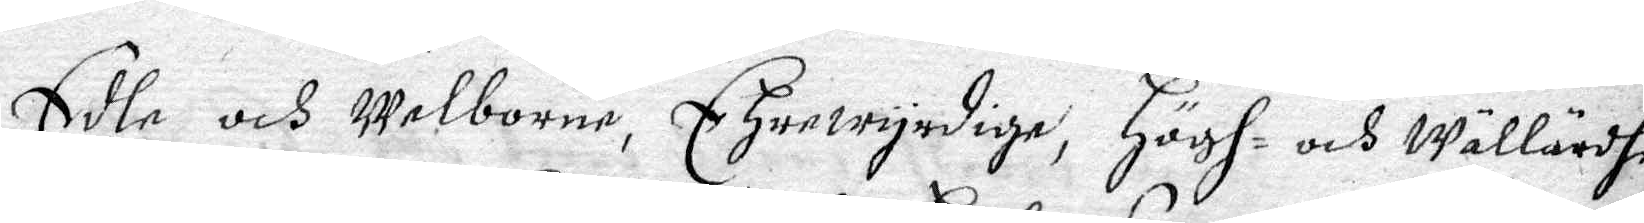Edle och Welborne, Ehrewyrdige, Högh- och Wällärdhe
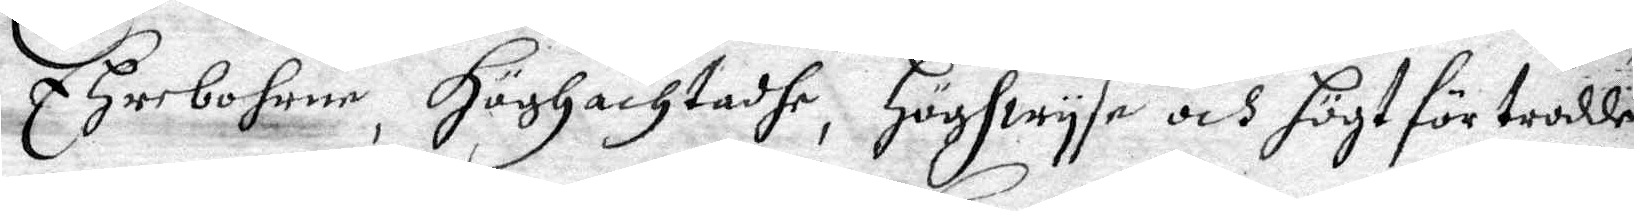Ehrebohrne, Höghachtadhe, Höghwyse och Högt förtrodde
